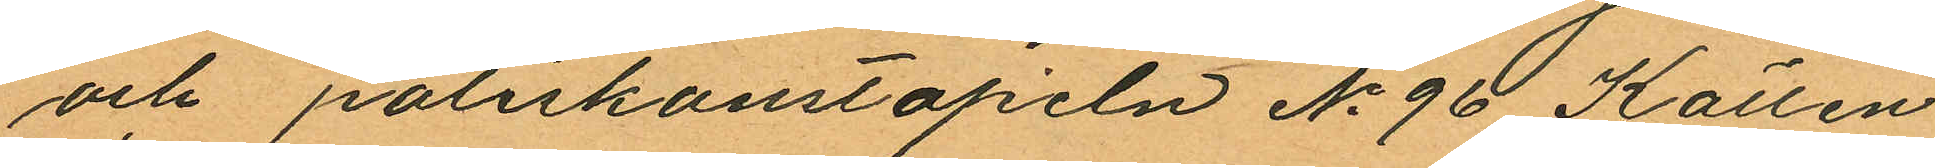och poliskonstapeln No 96 Källen
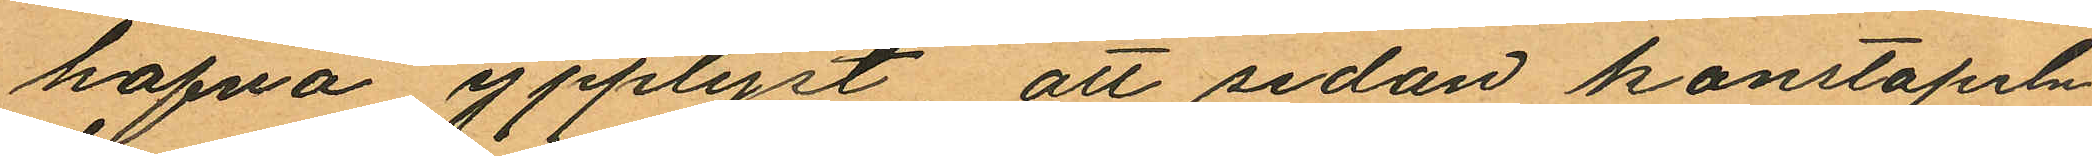hafva ypplyst, att sedan konstapeln
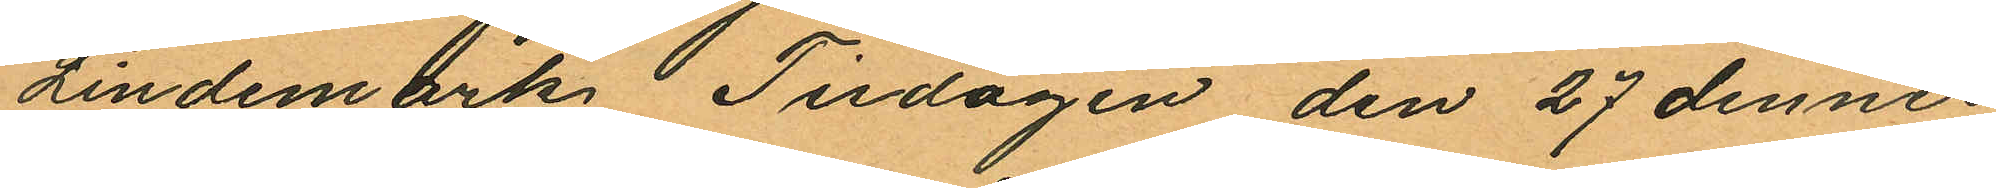Lindemark Tisdagen den 27 dennes
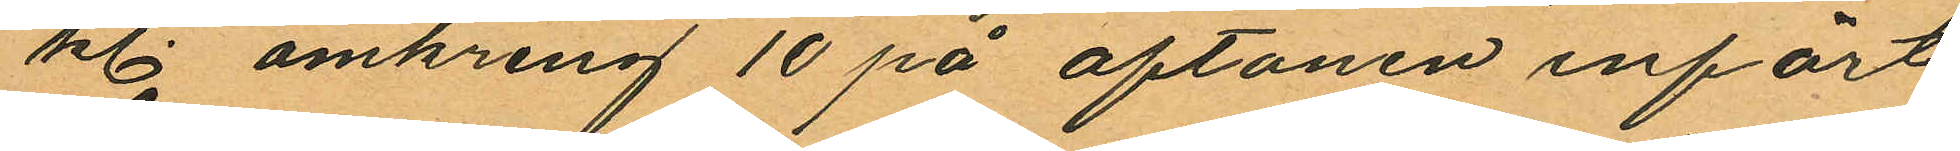kl. omkring 10 på aftonen infört
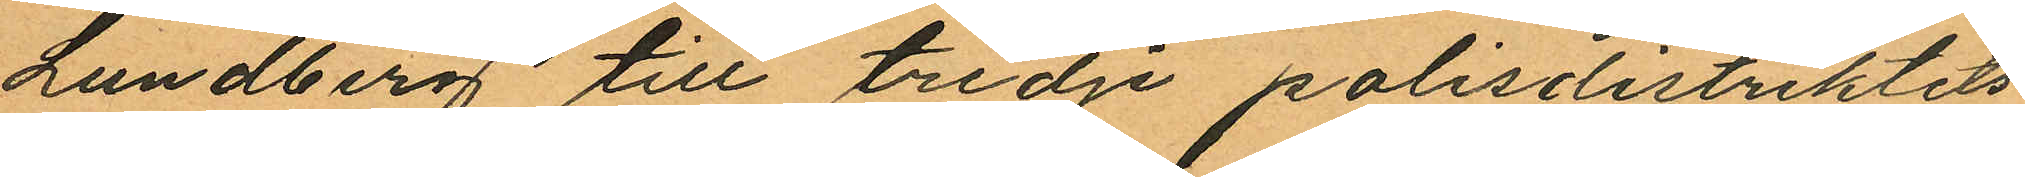Lundberg till tredje polisdistriktets
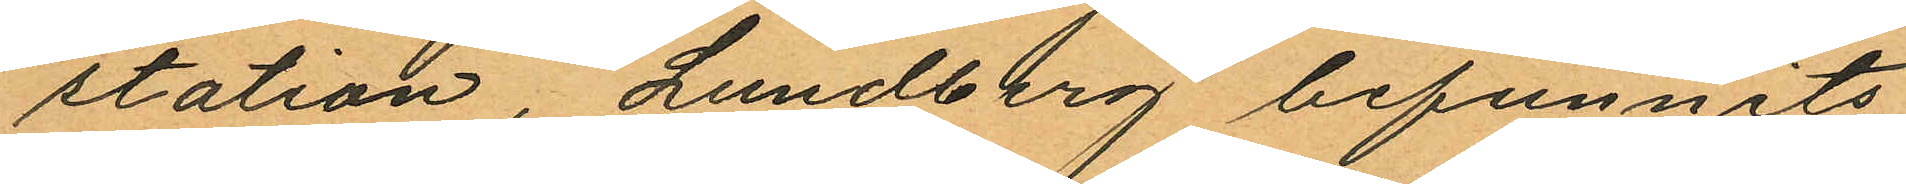station, Lundberg befunnits
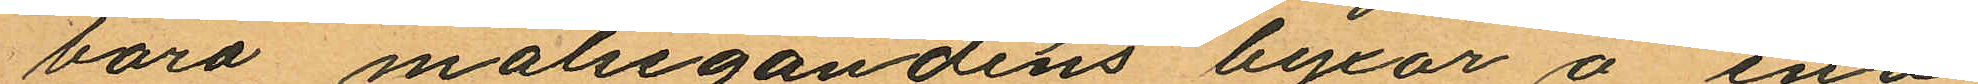bora målsegandens byxor å ena
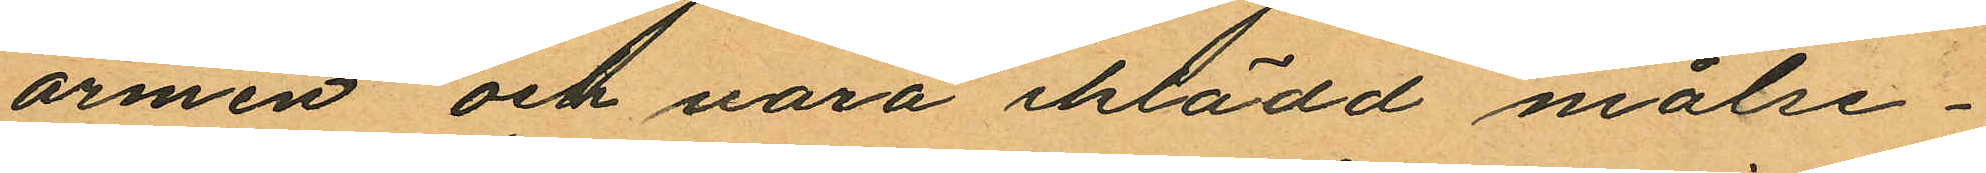armen och vara iklädd målse¬
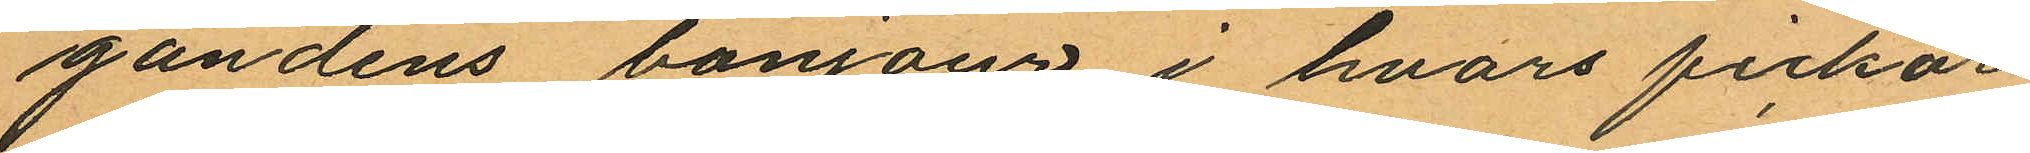gandens bonjour i hvars fickor
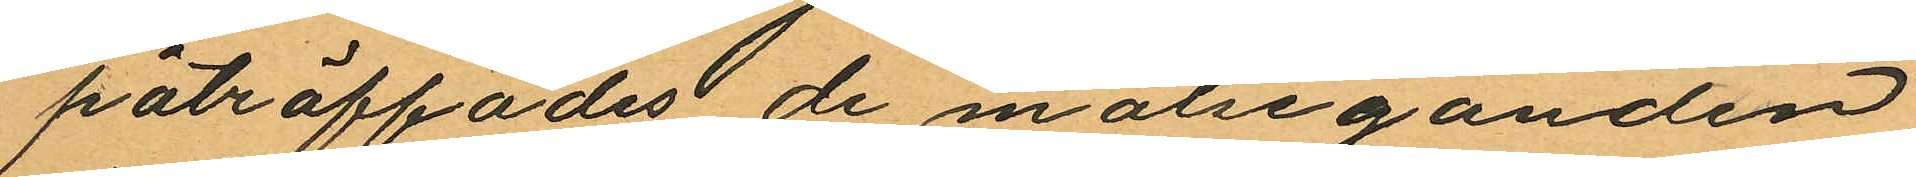påträffades de målseganden
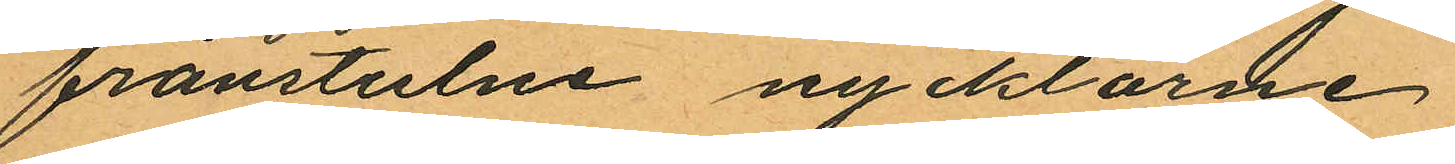frånstulne nycklarne
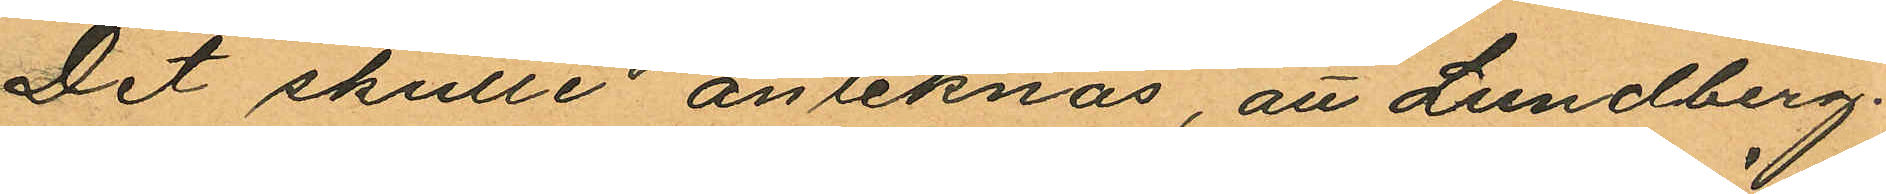Det skulle anteknas, att Lundberg
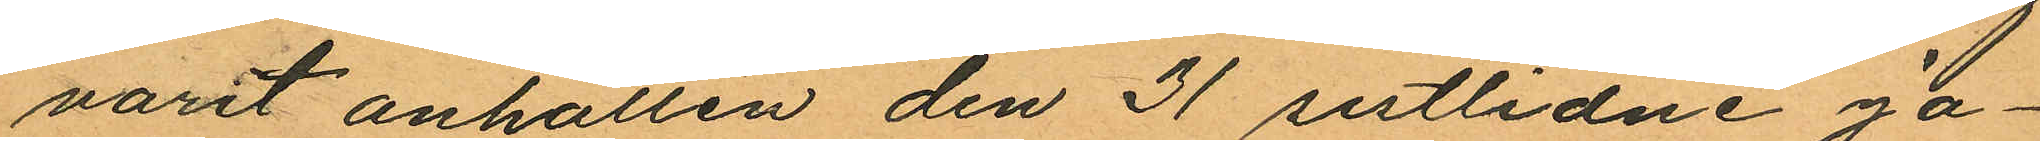varit anhållen den 31 sistlidne Ja¬
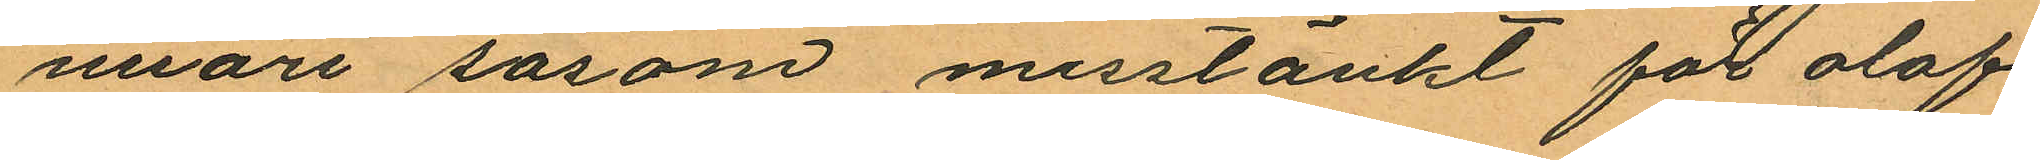nuari såsom misstänkt för olof
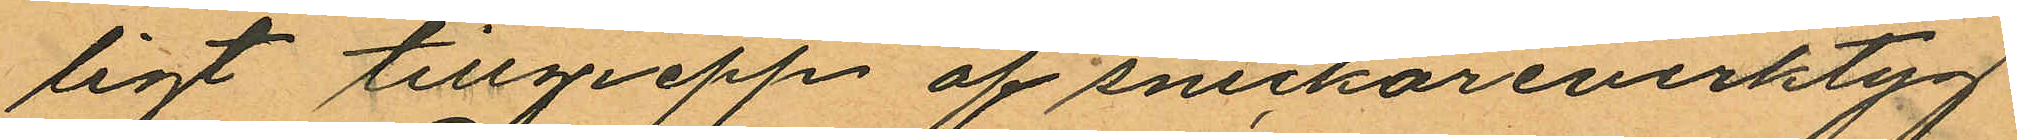ligt tillgrepp af snickareverktyg
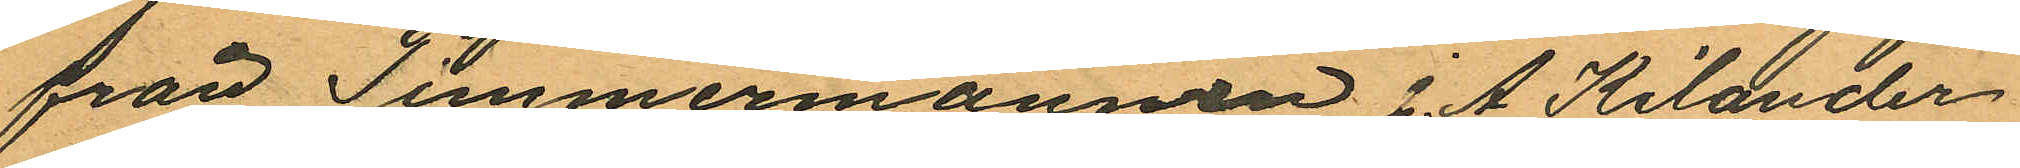från Timmermannen J. A. Kilander
